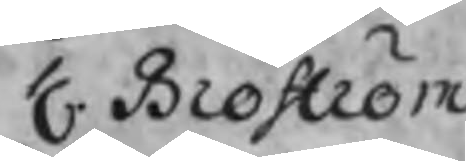H. Broström
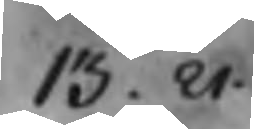13. 21.
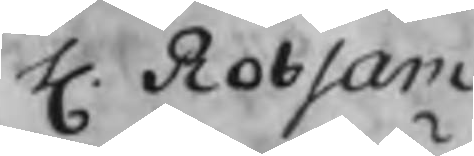H. Robsam
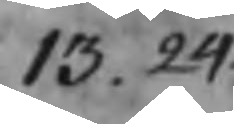13. 24.
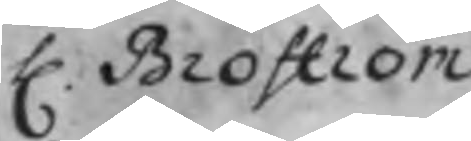H. Broström
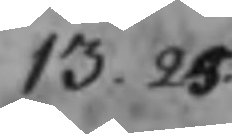13. 25.
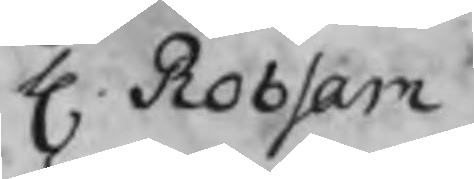H. Robsam
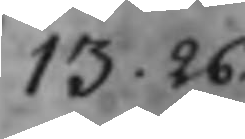13. 26.
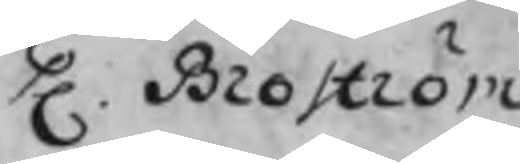H. Broström
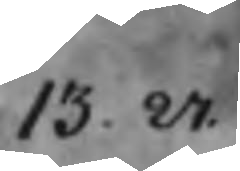13. 27.
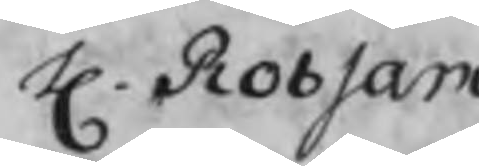H. Robsam
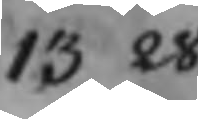13 28.
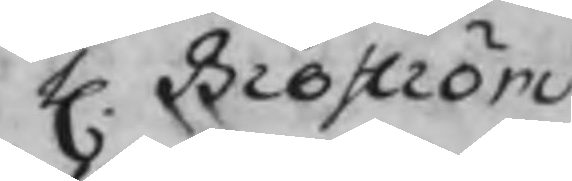H. Broström
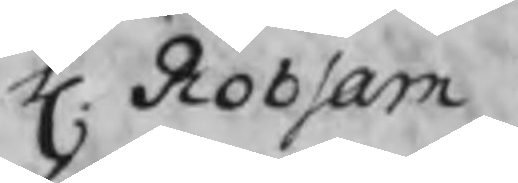H. Robsam
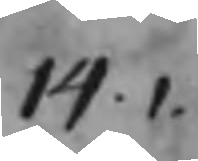14.1.
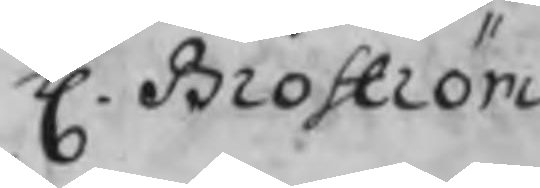H. Broström
